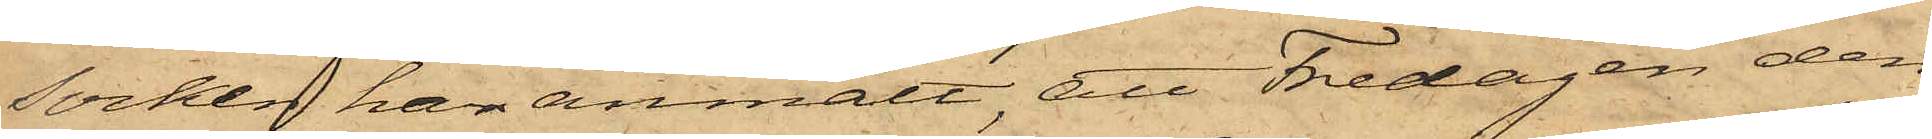Socken har anmält, att Fredagen den
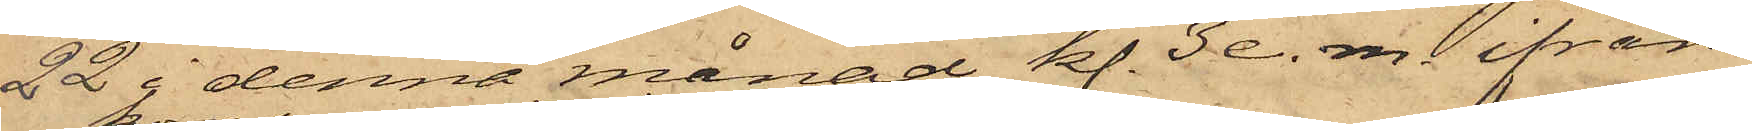22 i denna månad kl. 3 e. m. ifrån
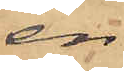en
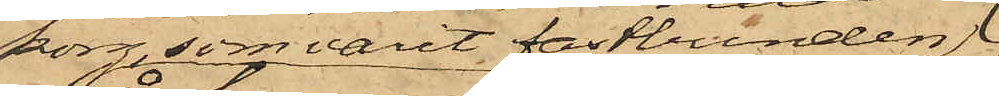korg, som varit fastbunden
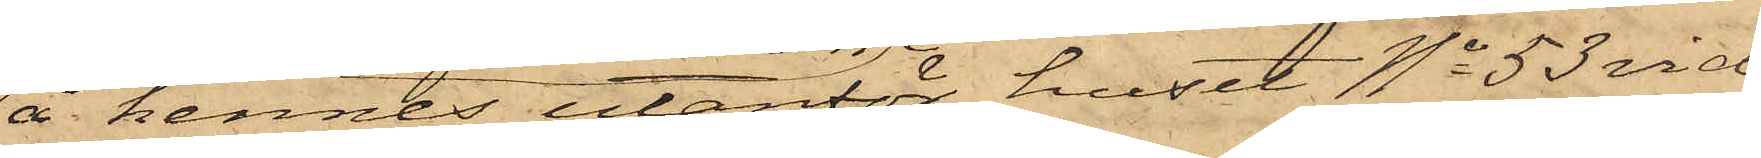å hennes utanför huset No 53 vid
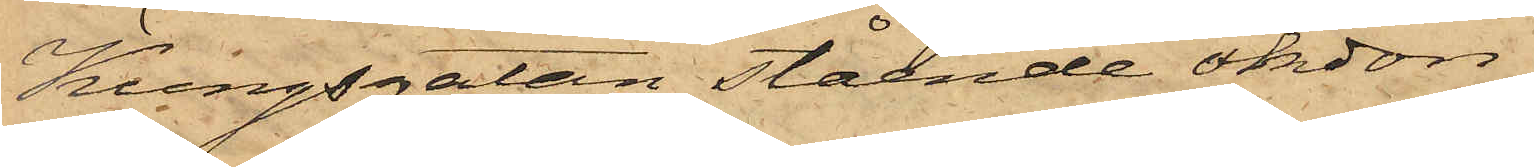Kungsgatan stående åkdon
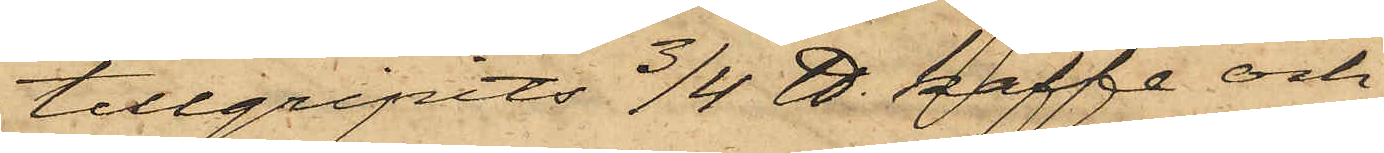tillgripits 3/4 ℔ kaffe och
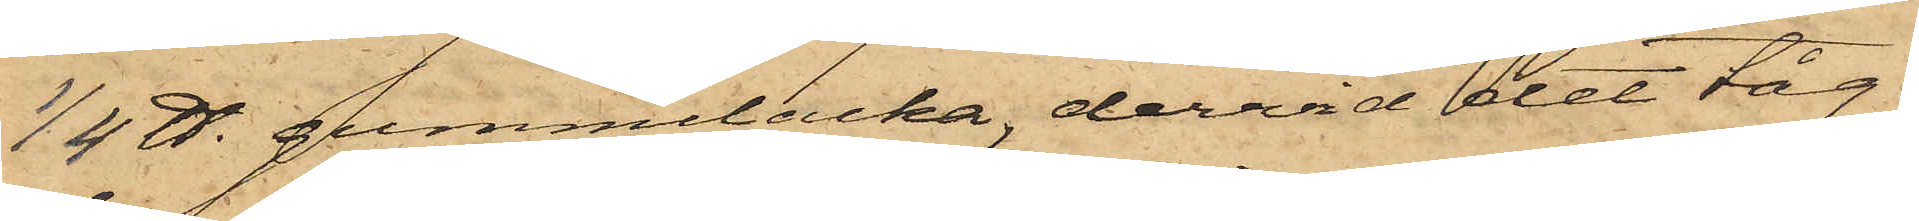1/4 ℔. gummilacka, dervid det tåg,
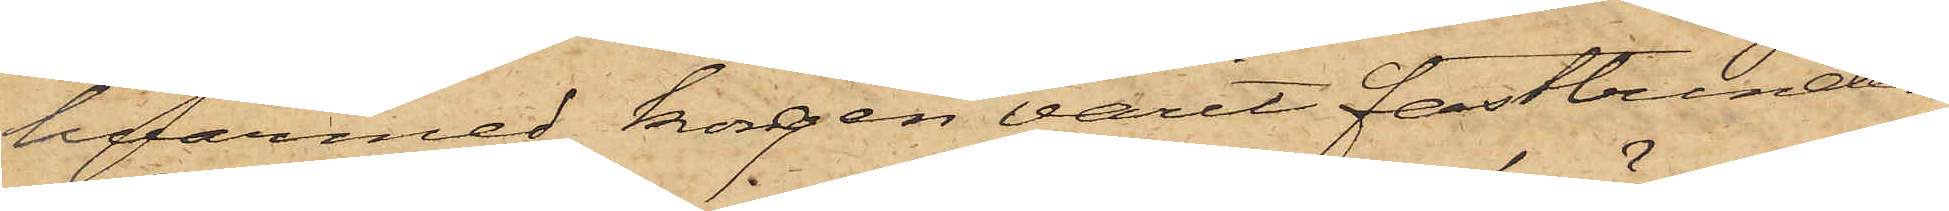hvarmed korgen varit fastbunden
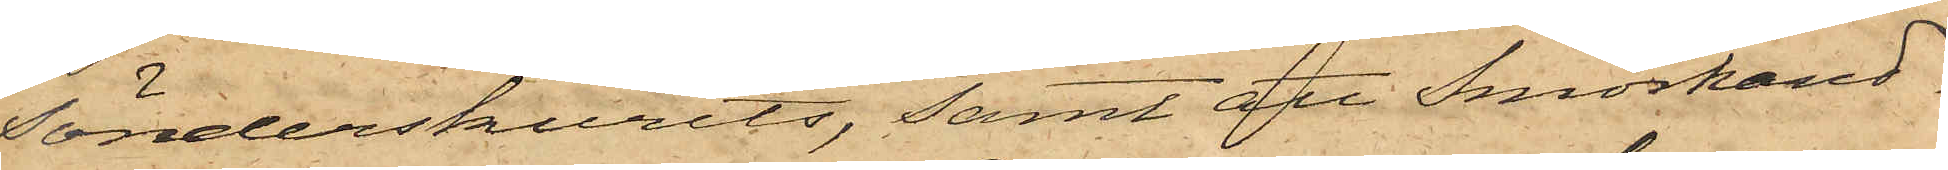sönderskurits, samt att Smörhand¬
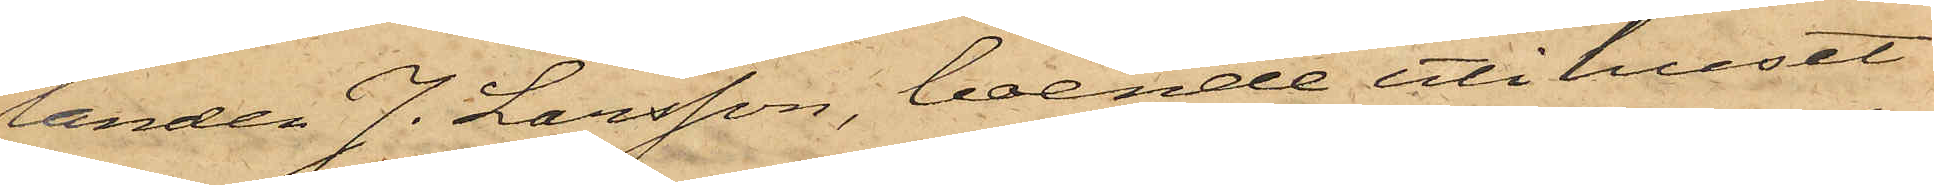landen J. Larsson, boende uti huset
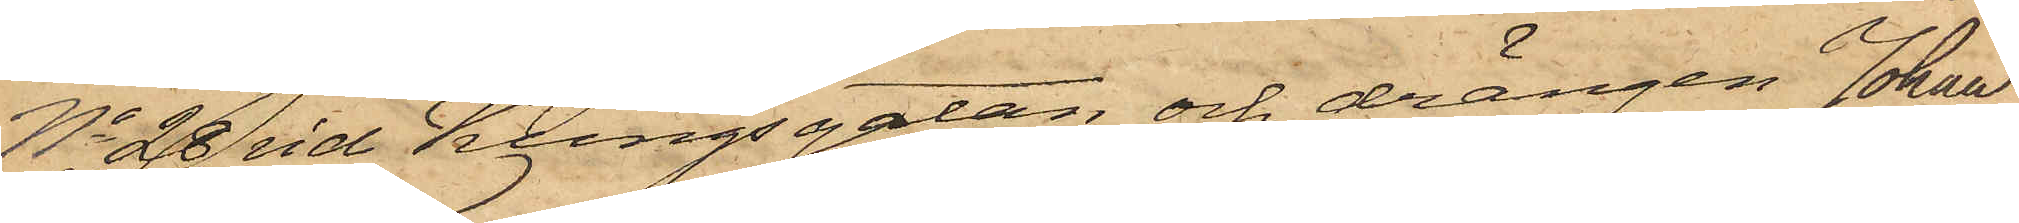No 28 vid Kungsgatan, och drängen Johan
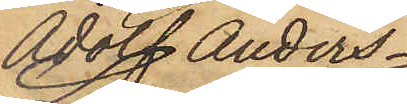Adolf Anders¬
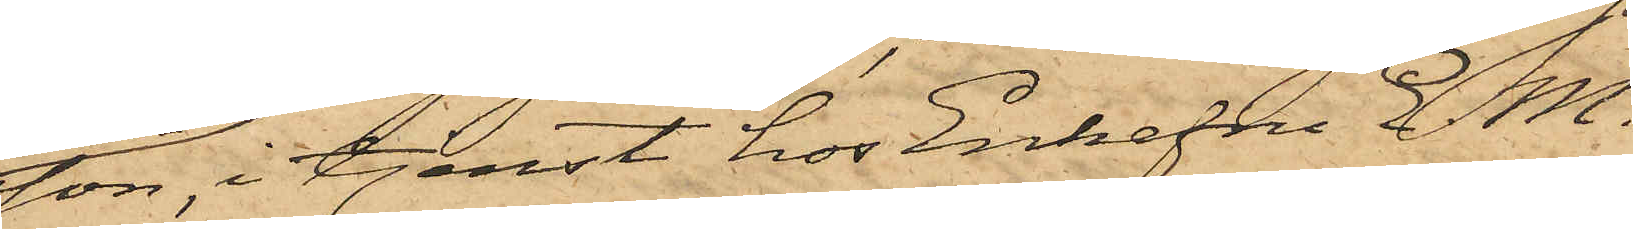son, i tjenst hos Enkefru E. M.
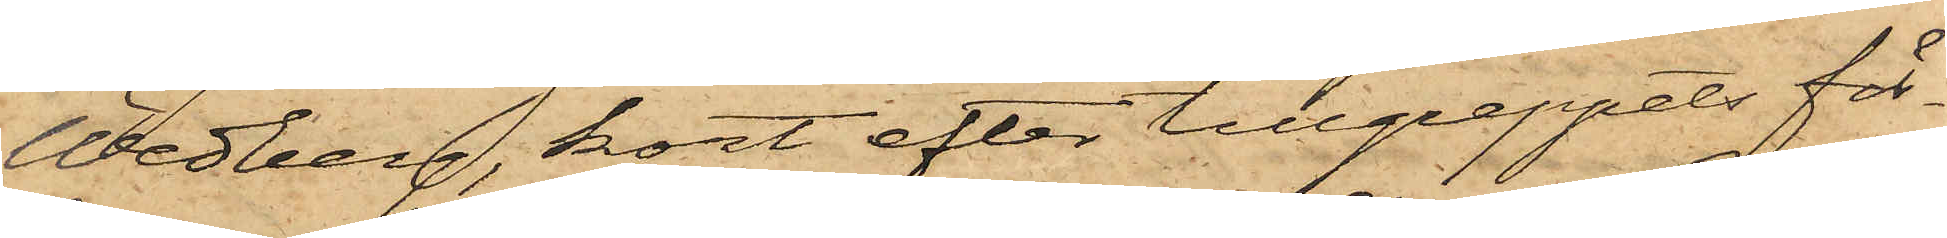Wedberg, kort efter tillgreppets för¬
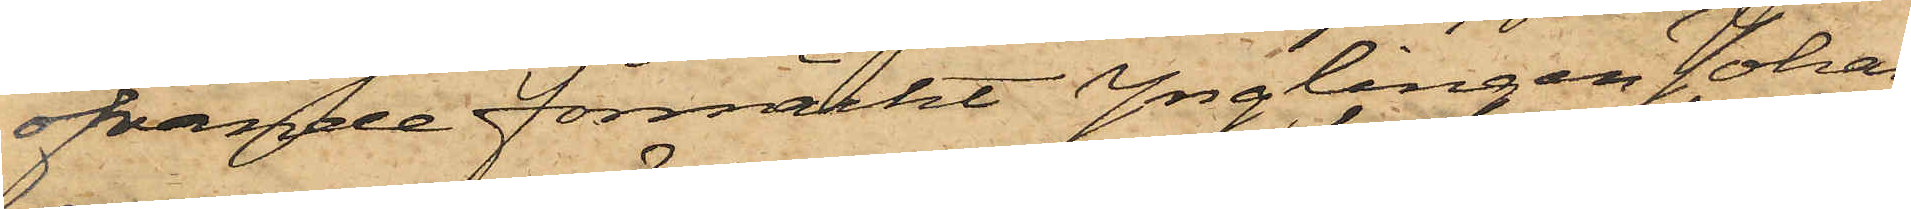öfvande förmärkt Ynglingen Johan
